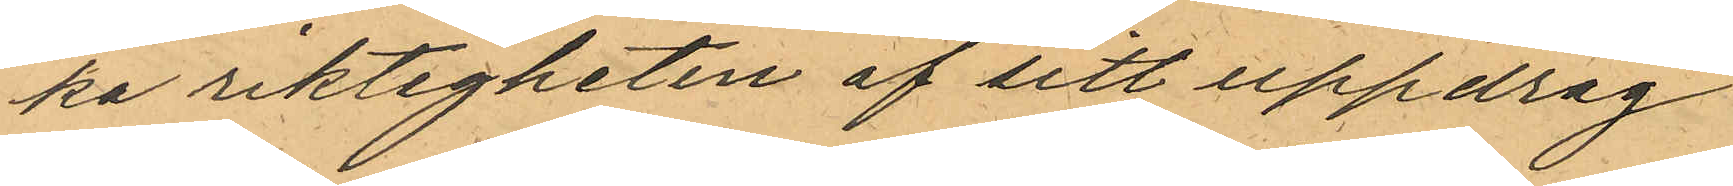ka riktigheten af sitt uppdrag
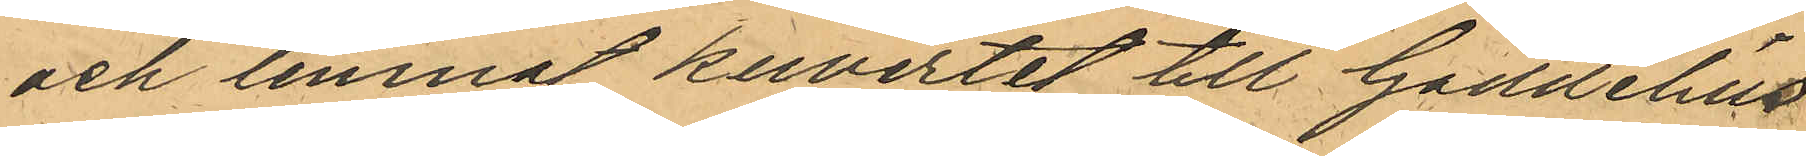och lemnat kuvertet till Gaddelius
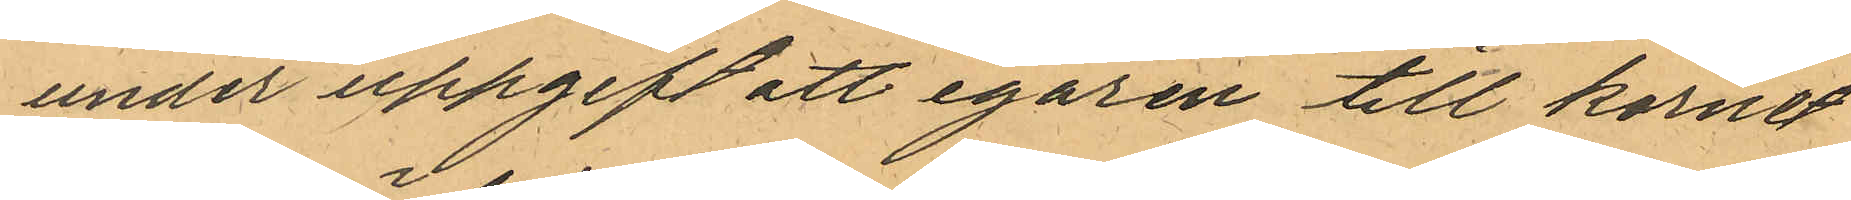under uppgift att egaren till kornet
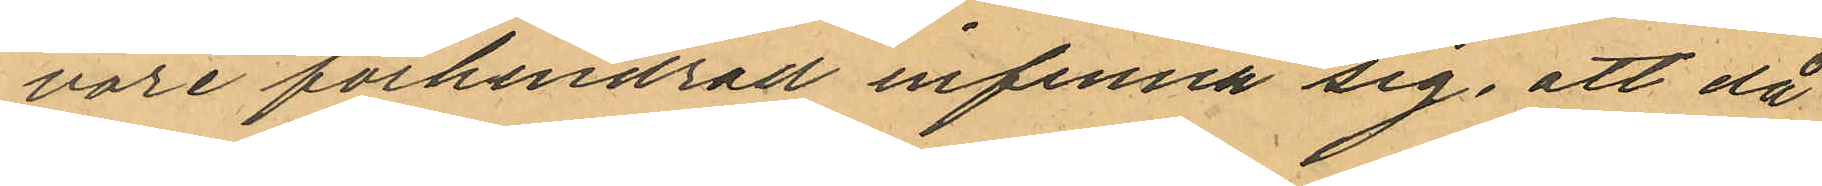vore förhindrad infinna sig, att då
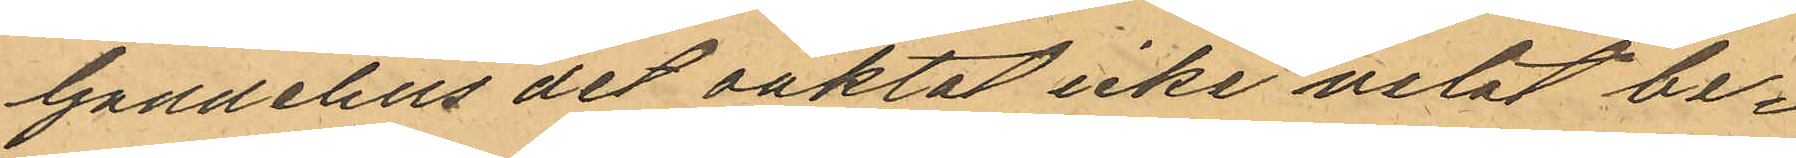Gaddelius det oaktat icke velat be¬
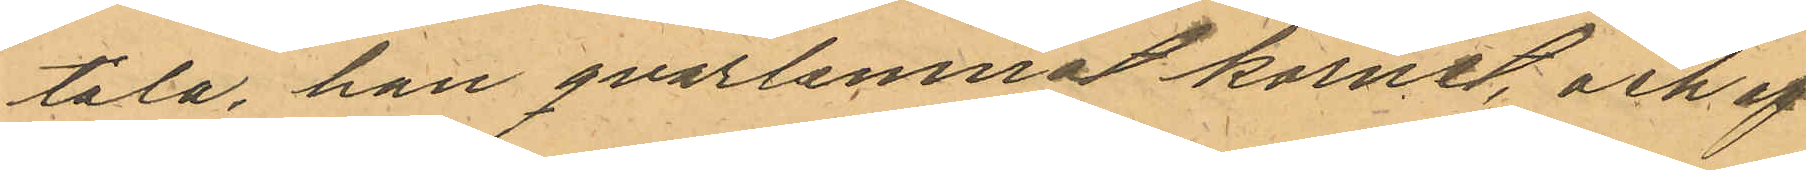tala, han qvarlemnat kornet, och af
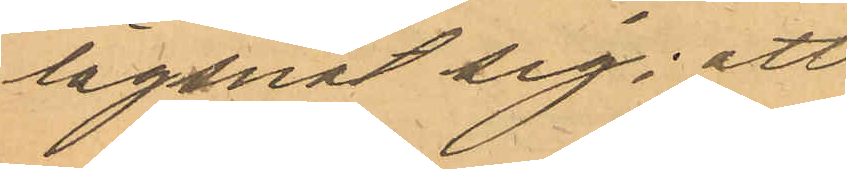lägsnat sig; att
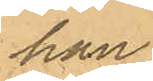han
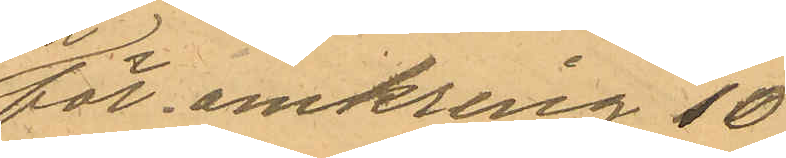för omkring 10
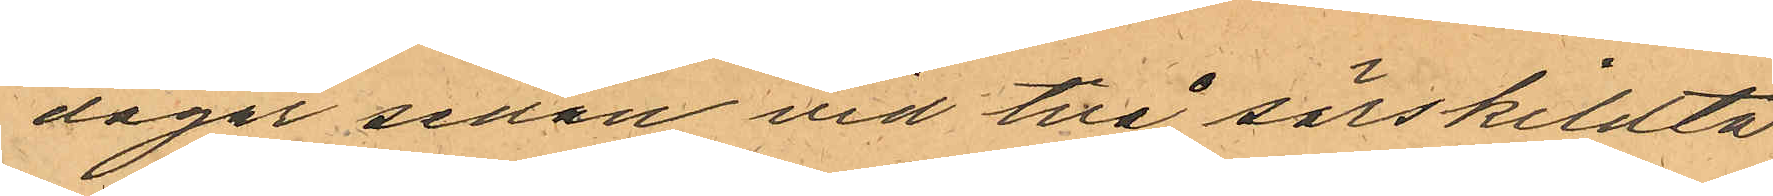dagar sedan vid två särskildta
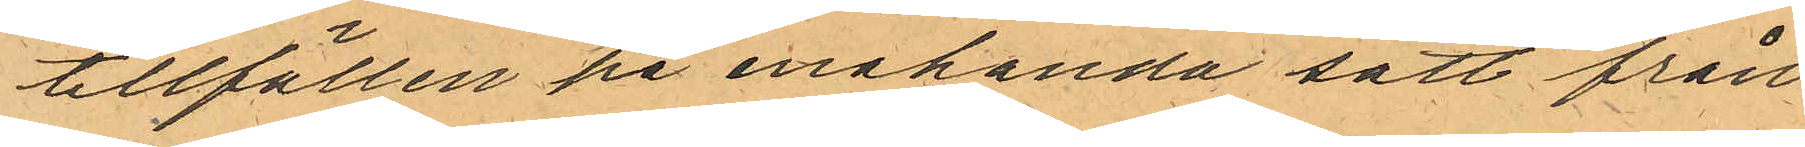tillfällen på enahanda sätt från
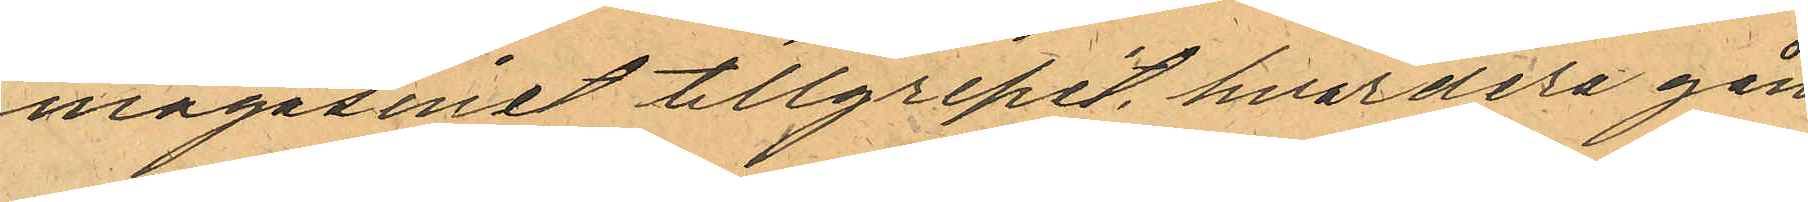magasinet tillgripit hvardera gån¬
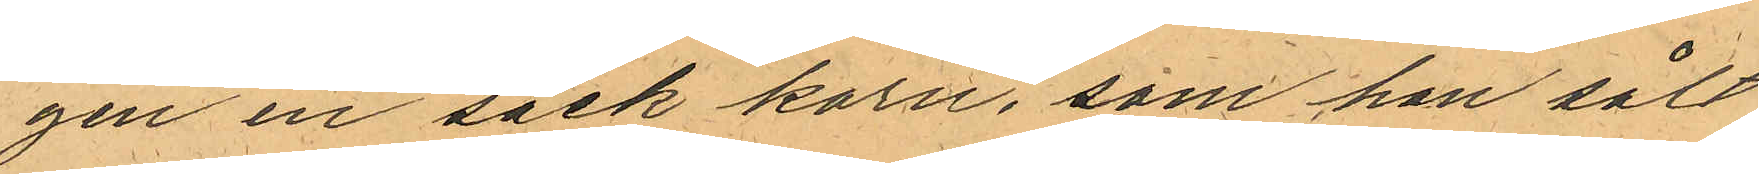gen en säck korn, som han sålt
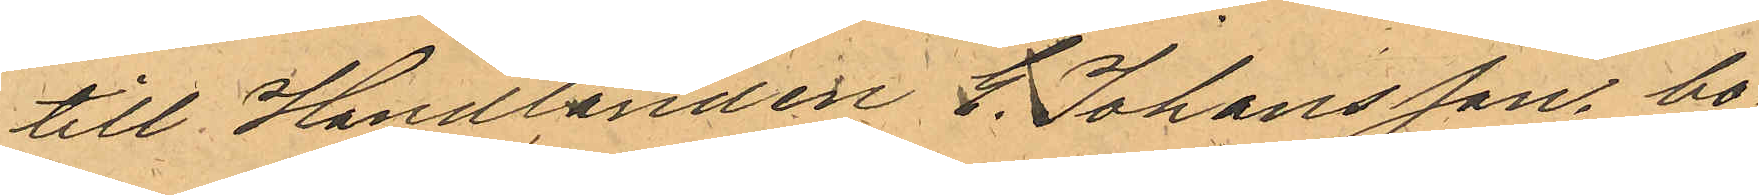till Handlanden E. Johansson, bo¬
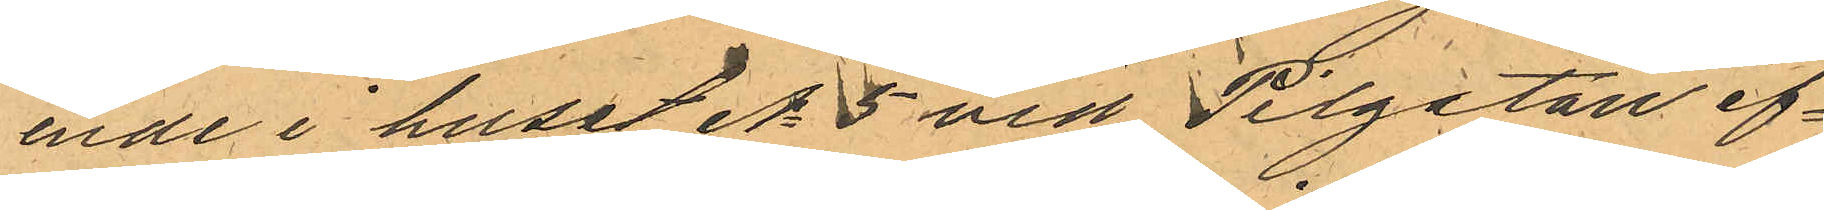ende i huset No 5 vid Pilgatan ef¬
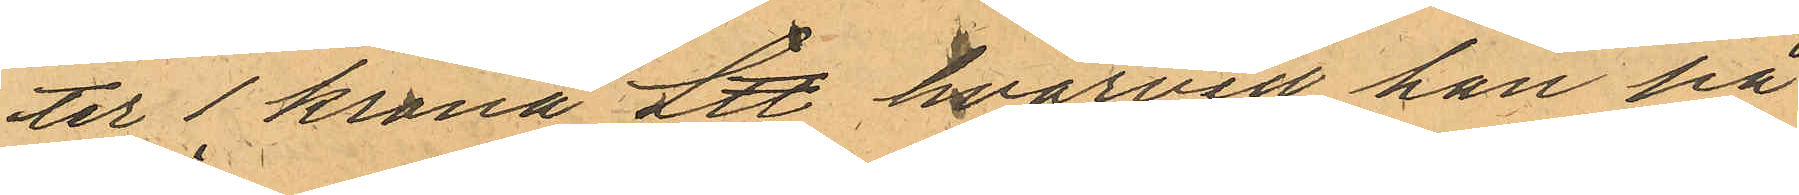ter 1 krona L℔ hvarvid han på
